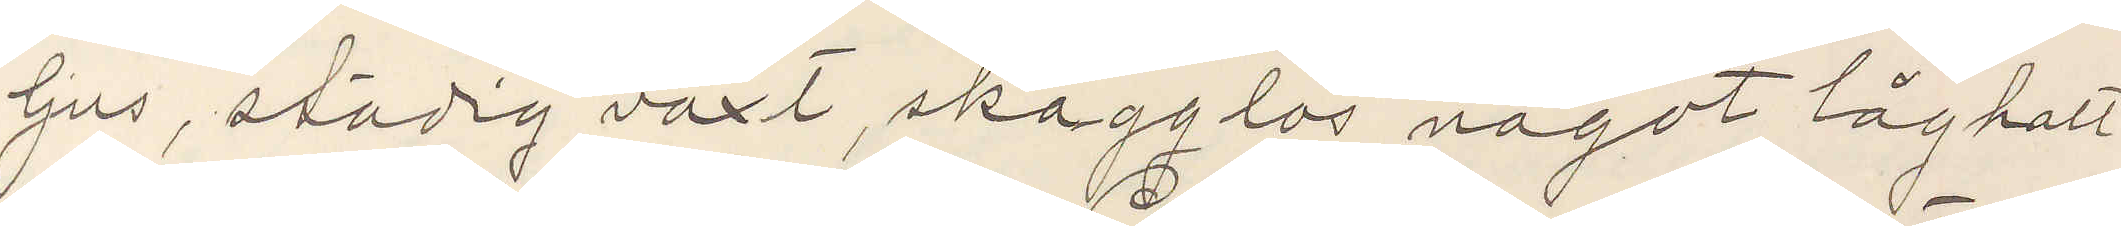ljus, stadig växt, skägglös något låghalt
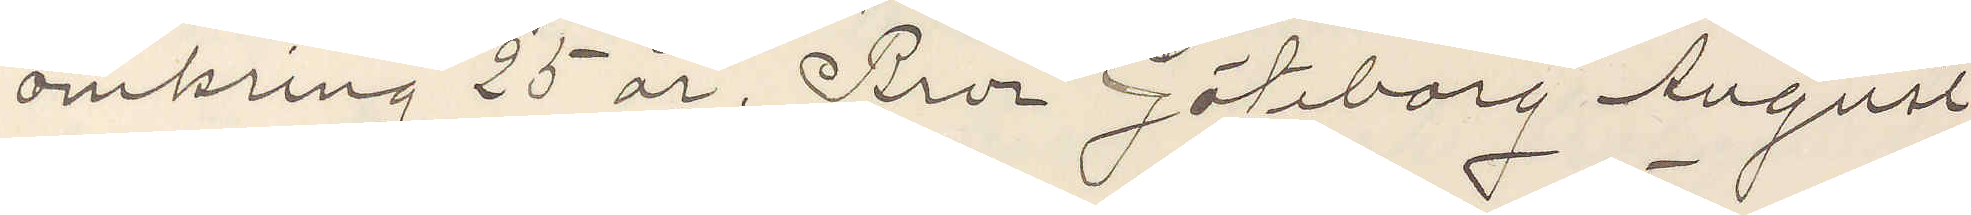omkring 25 år. Bror Göteborg August
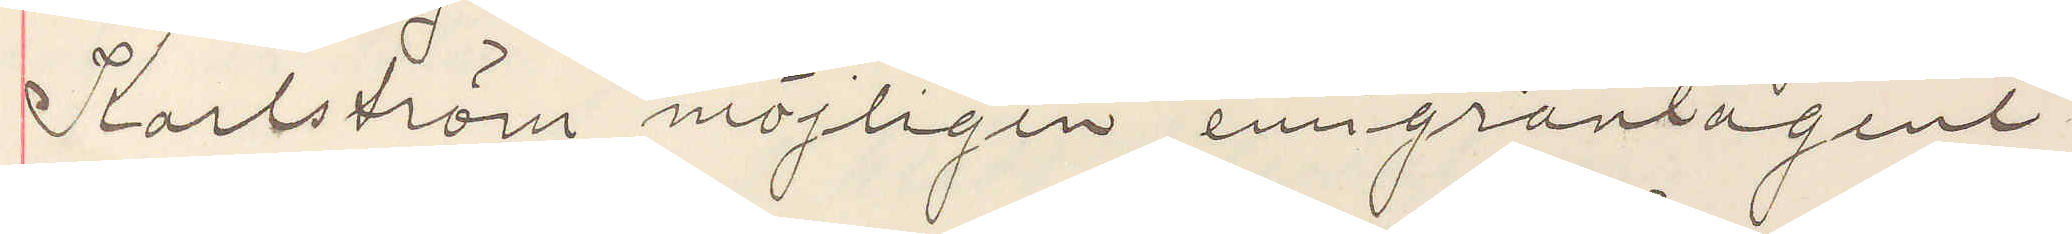Karlström möjligen emigrantagent
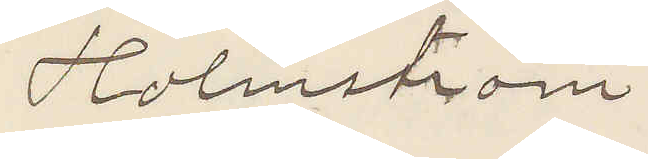Holmström
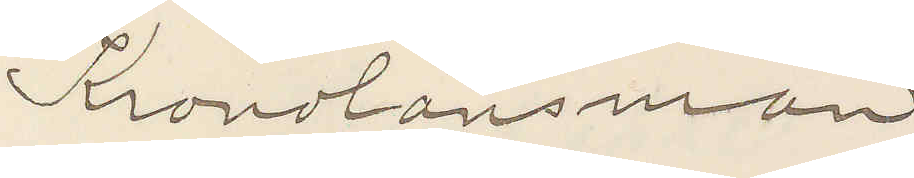Kronolänsman
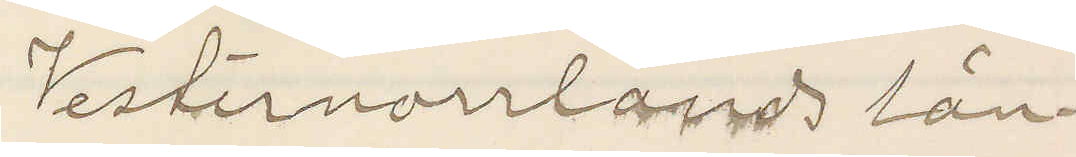Vesternorrlands län
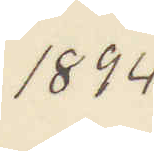1894
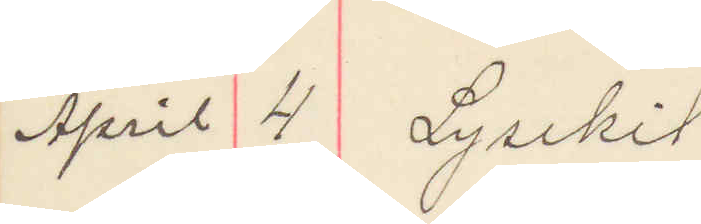April 4 Lysekil
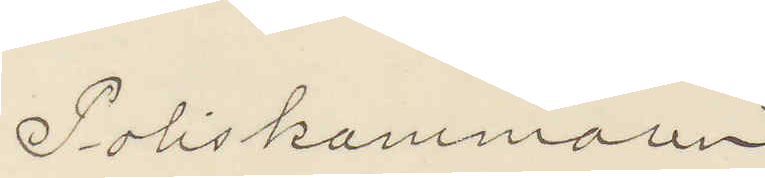Poliskammaren
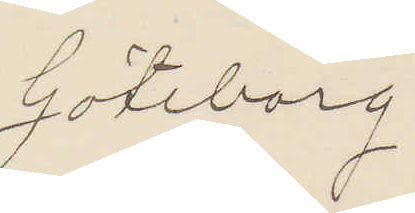Göteborg
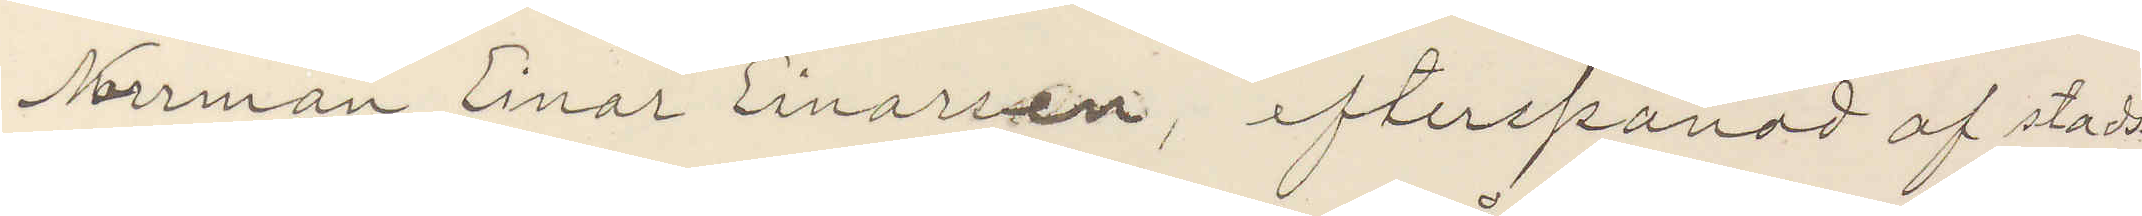Norrman Einar Einarsen, efterspanad af stad¬
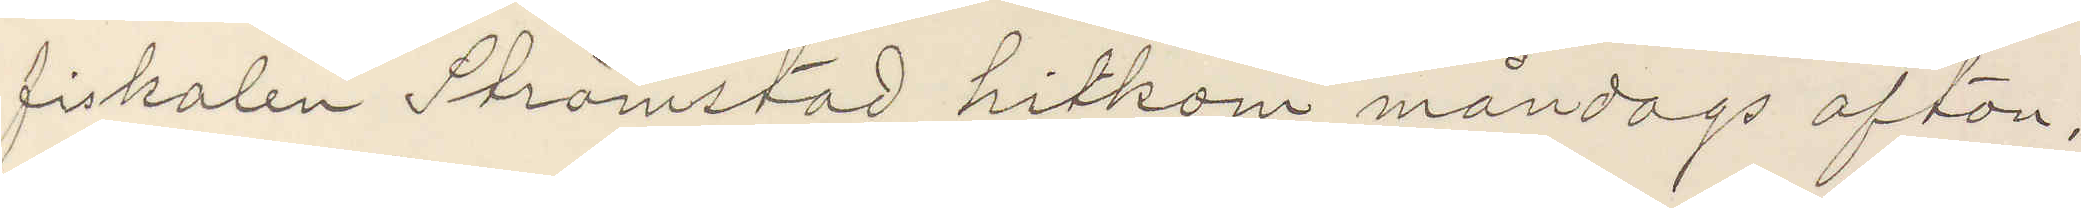fiskalen Strömstad hitkom måndags afton;
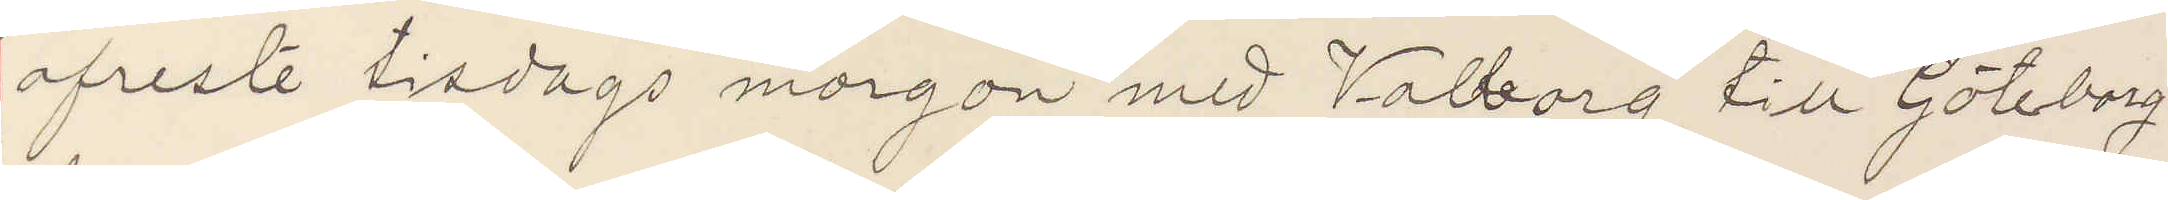afreste tisdags morgon med Valborg till Göteborg
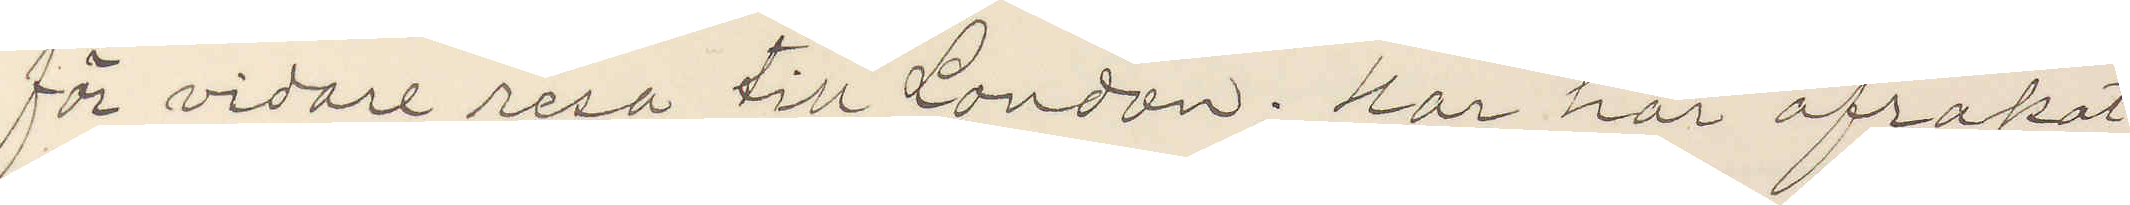för vidare resa till London; Har här afrakat
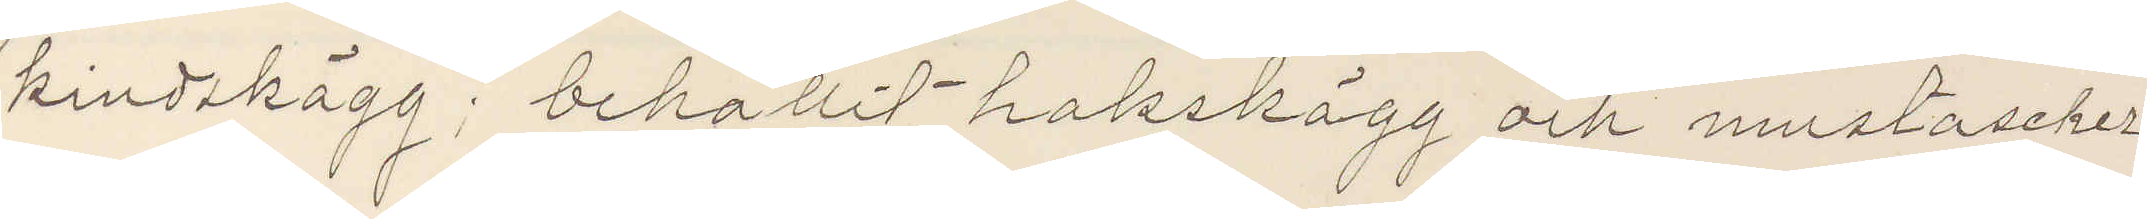kindskägg; behållit hakskägg och mustascher
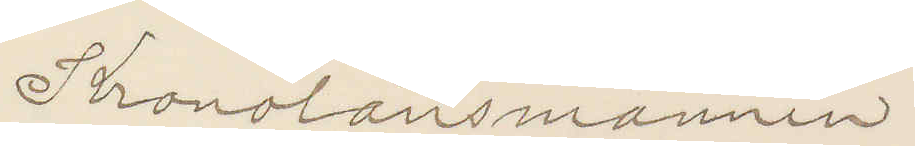Kronolänsmannen
